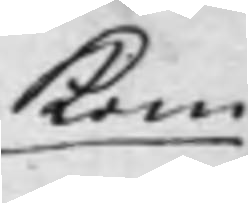Kom¬
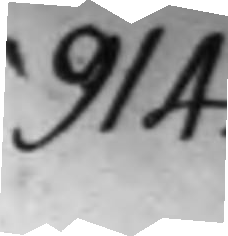914.
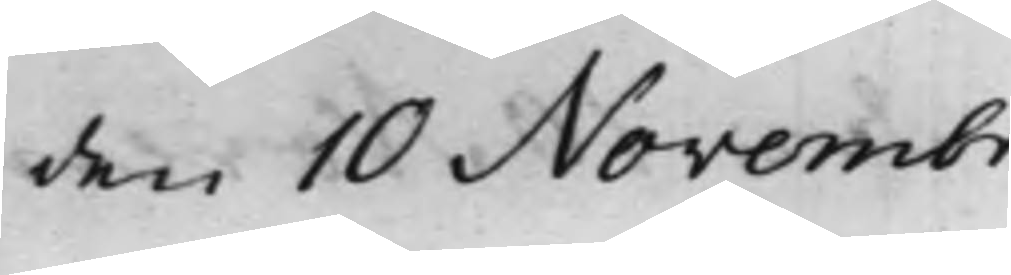den 10 Novembr.
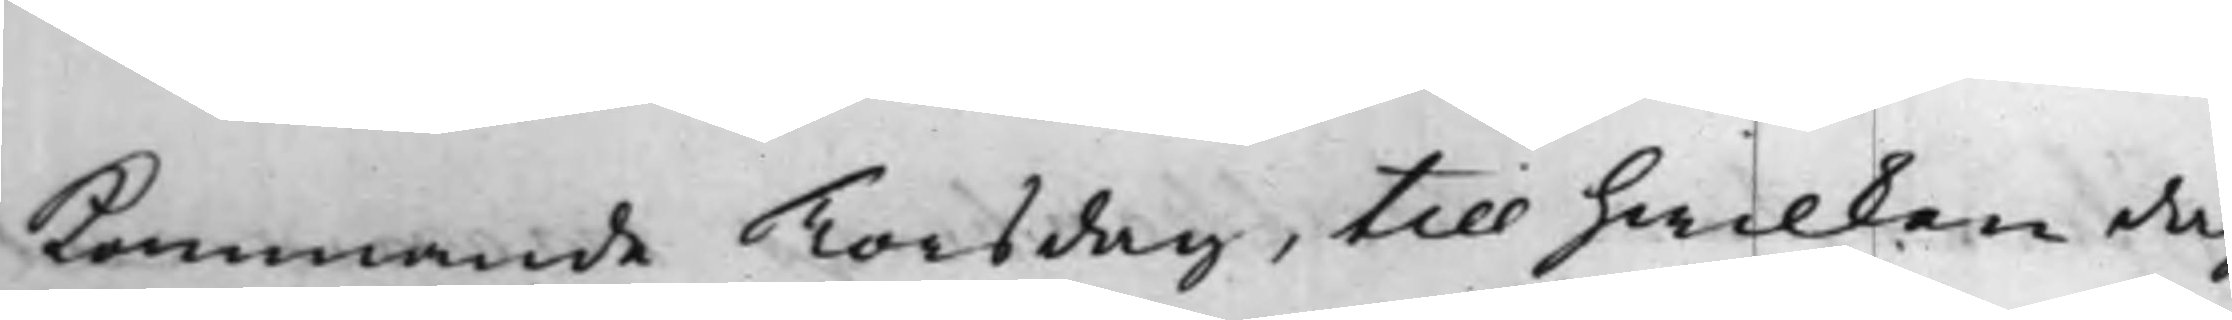kommande Torsdag, till hwilken dag
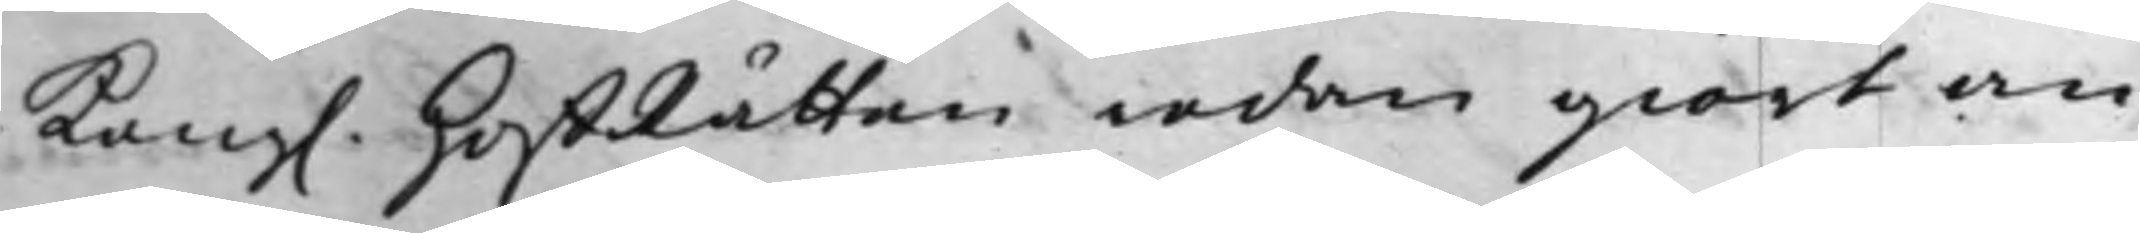Kong. HoffRätten reda giort an¬
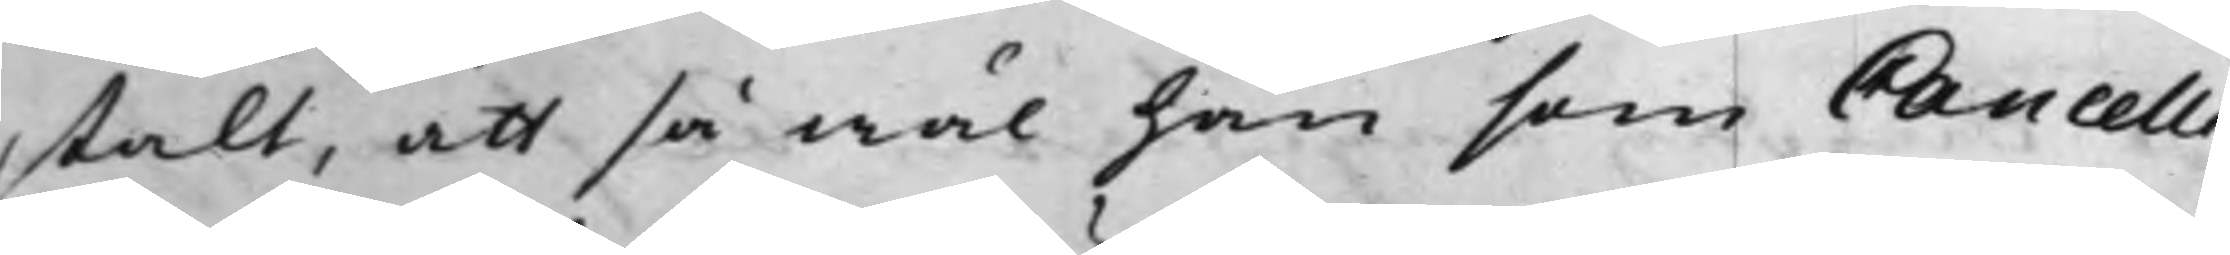stalt, att så wäl han som Cancelli¬
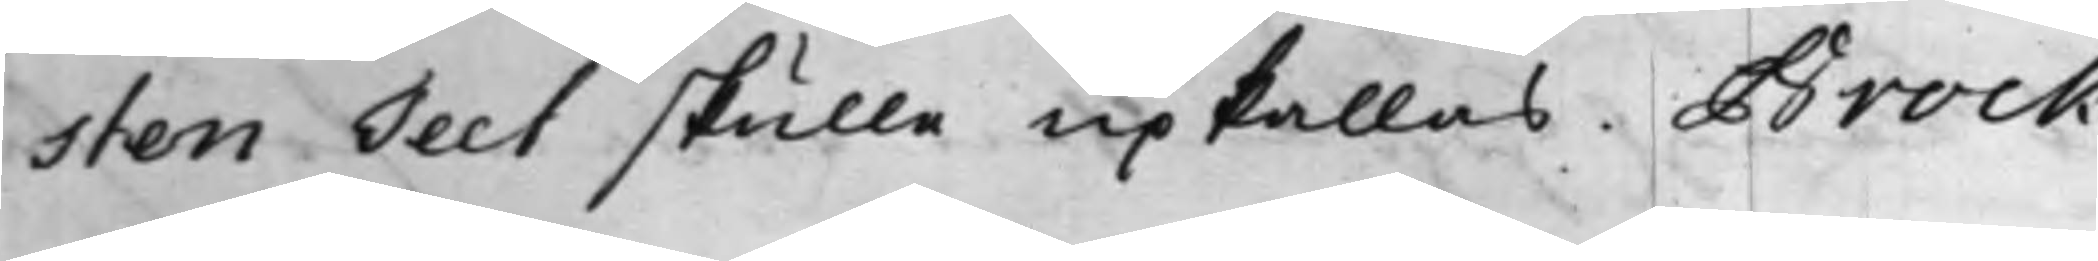sten Teet skulle upkallas. Brock
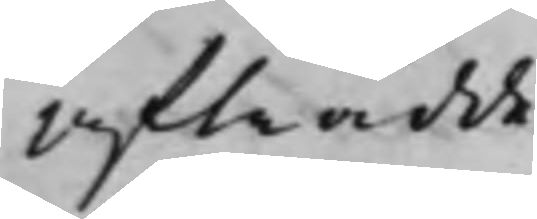Afträdde.
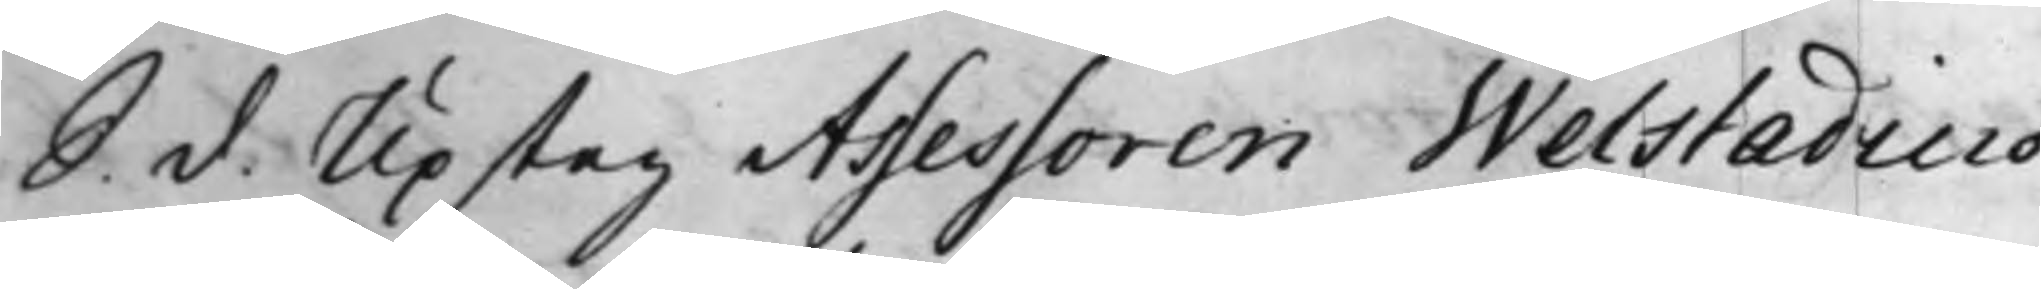S. d. Upsteg Assessoren Welstadius
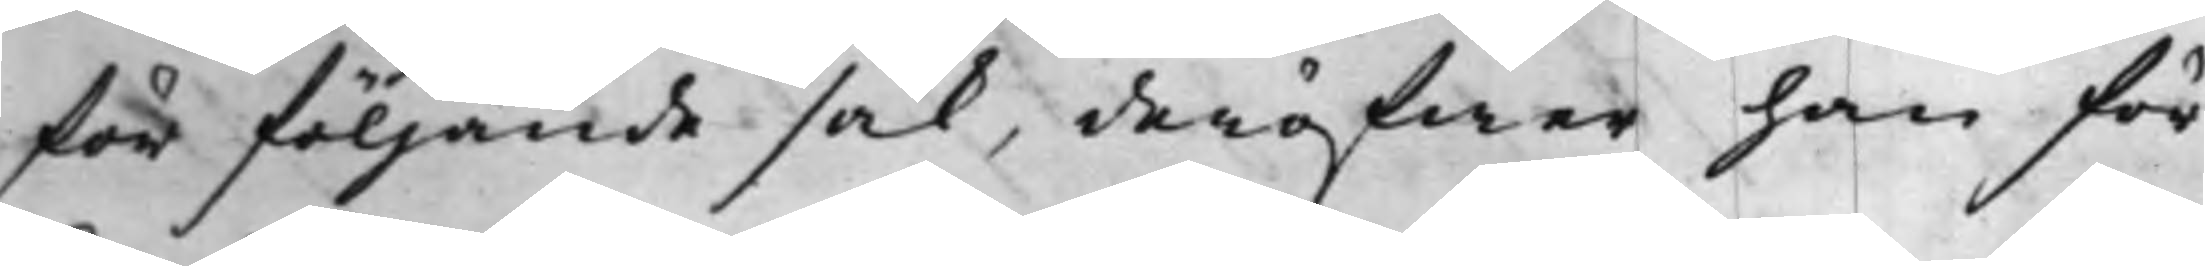för följande sak, deröfwer han för
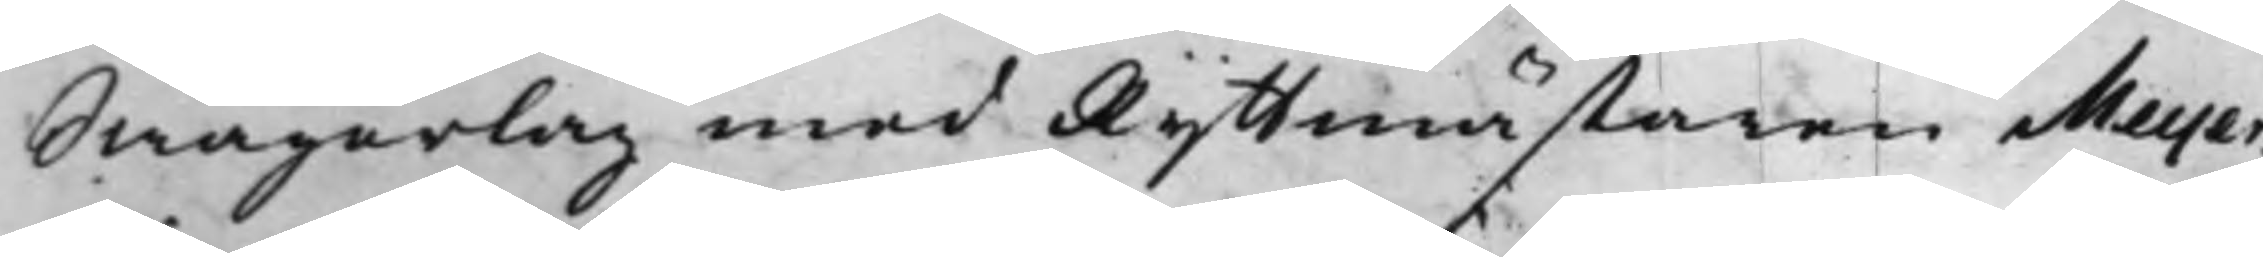Swågerlag med Ryttmästaren Meyer¬
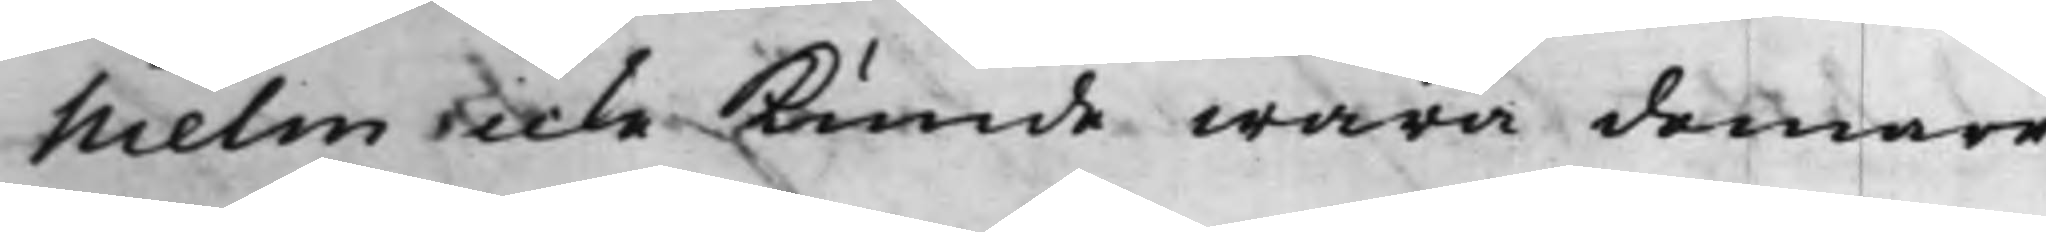hielm icke kunde wara domare.
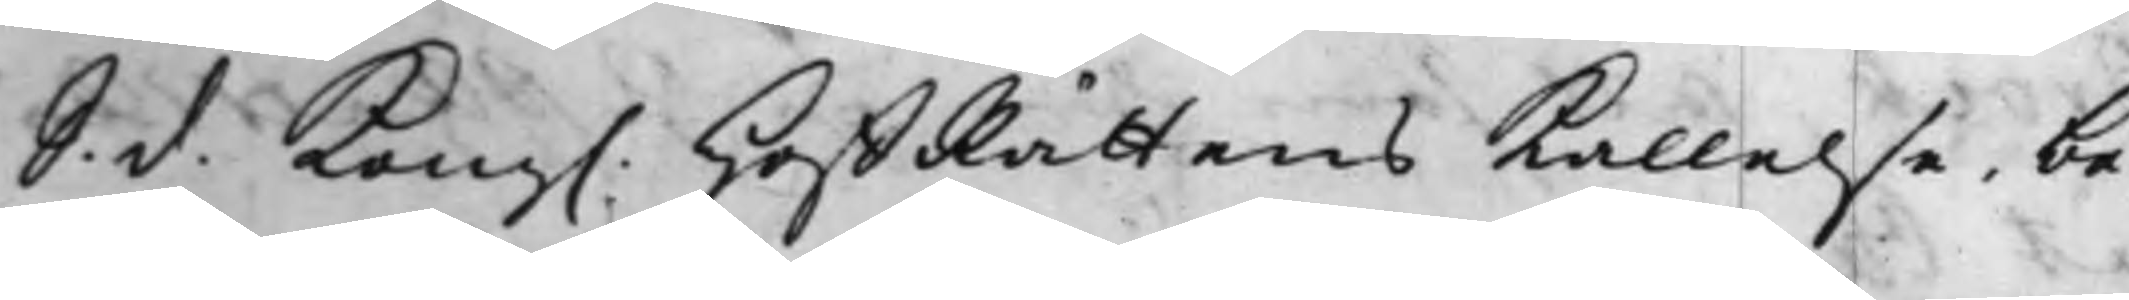S. d. Kong. HoffRättens Kallelse, be¬
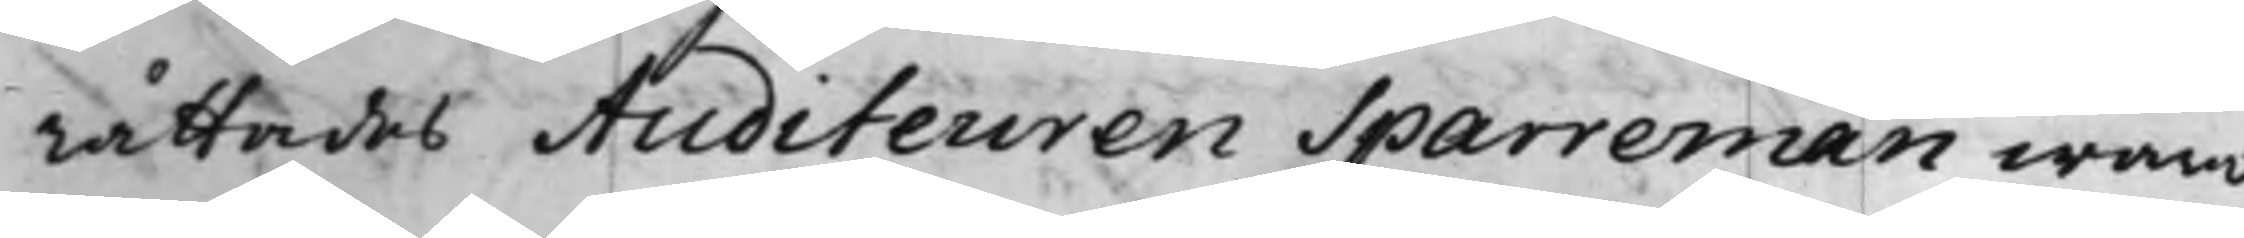rättades Auditeuren Sparreman wara
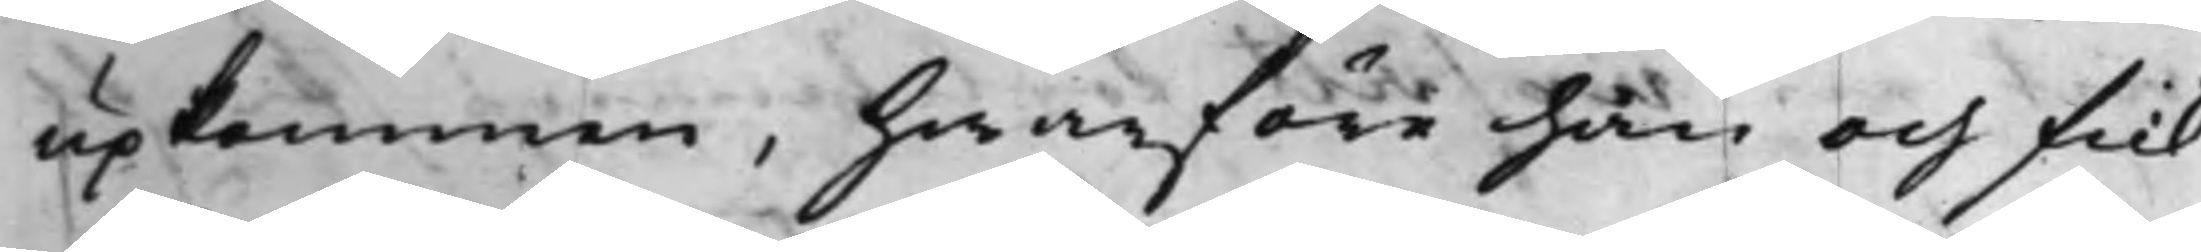upkommen, hwarföre han och fick
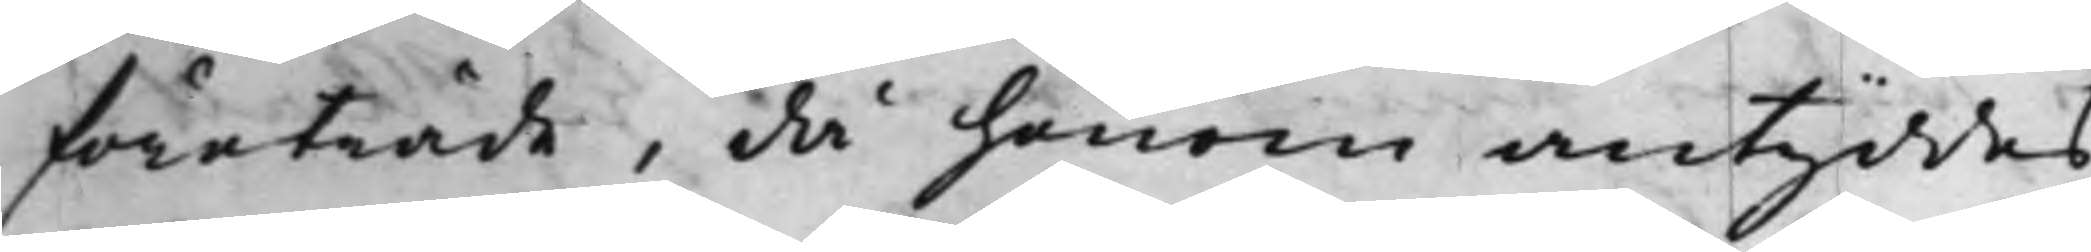företräde, då honom antyddes,
